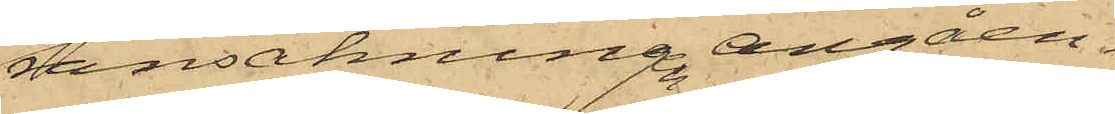ransakningen angåen¬
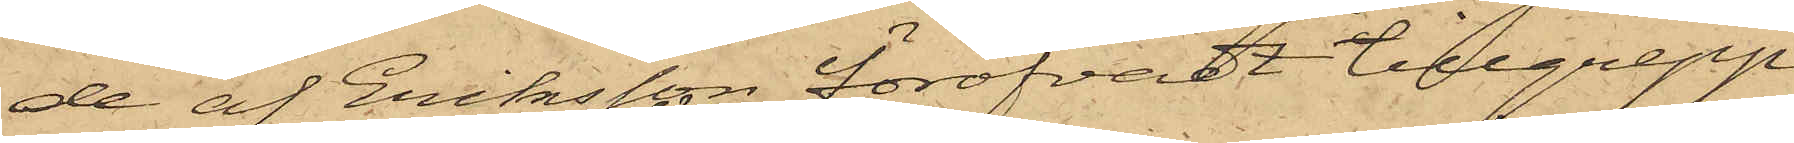de af Eriksson föröfvadt tillgrepp
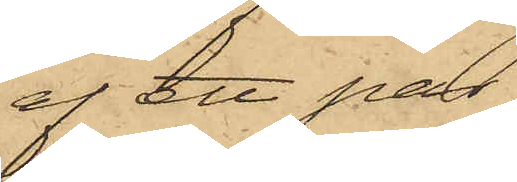af ett par
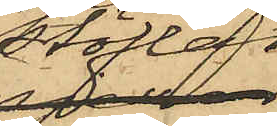stöflar,
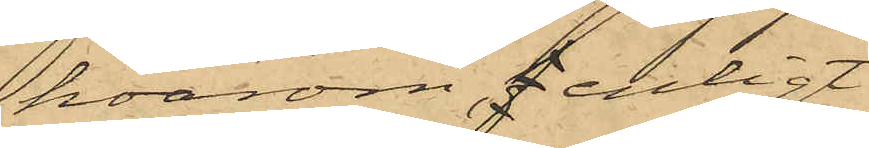hvarom, enligt
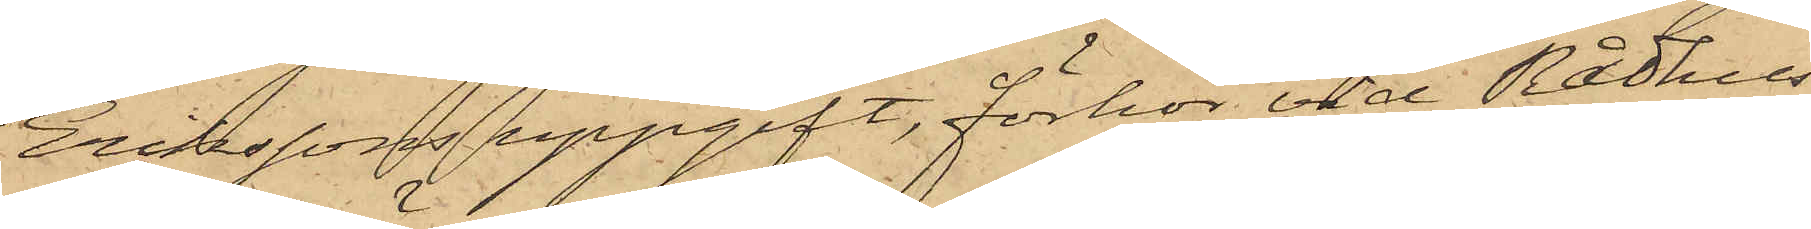Erikssons uppgift, förhör vid Rådhus
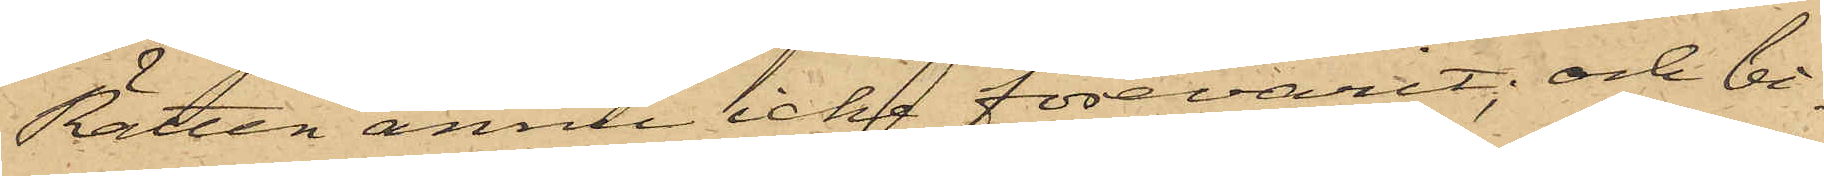Rätten ännu icke förevarit; och bi¬
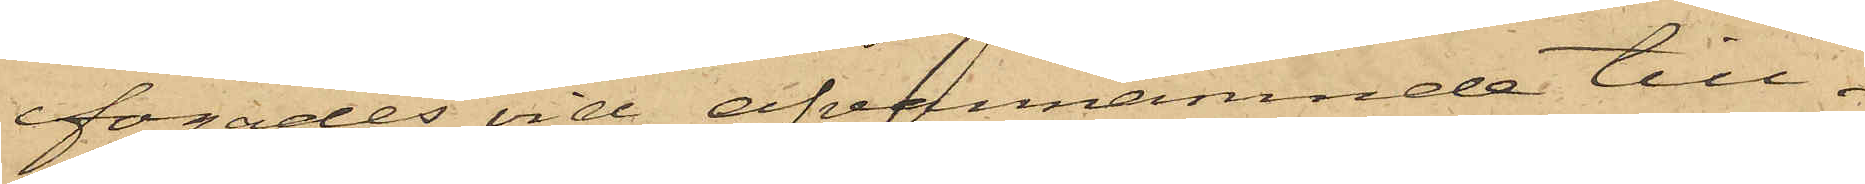fogades vid ofvannämnde till¬
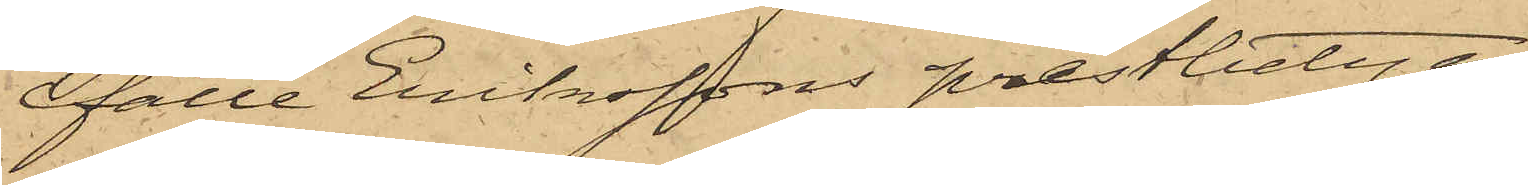fälle Erikssons prestbetyg.
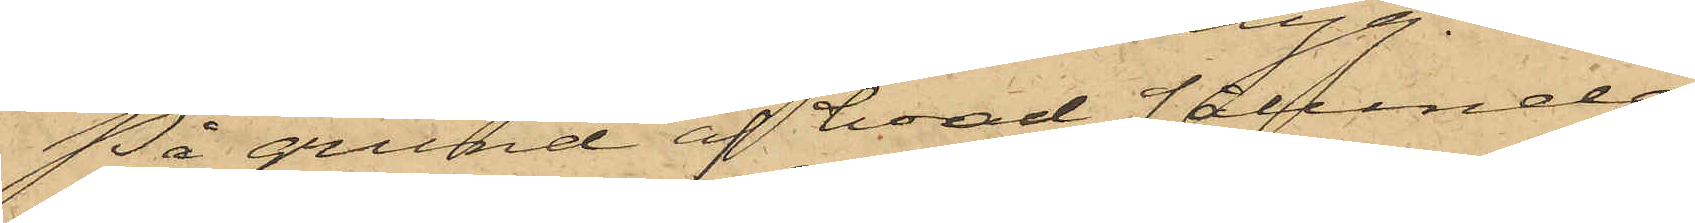På grund af hvad sålunda
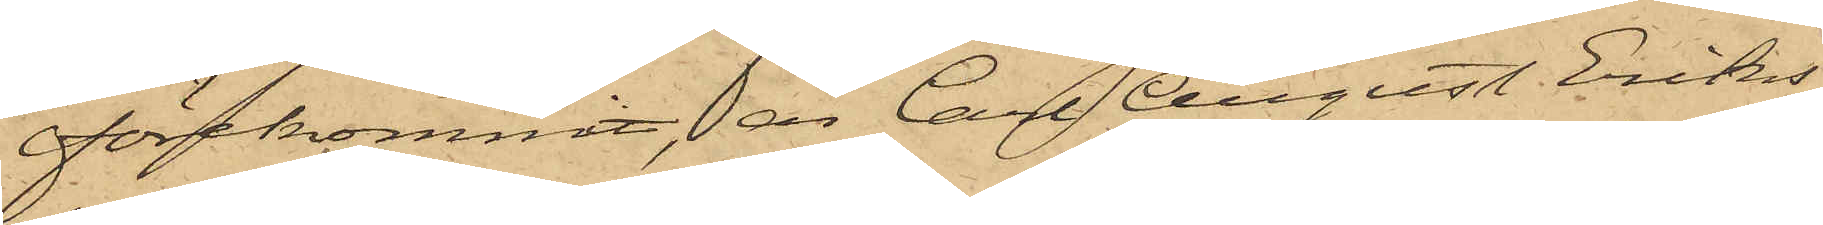förekommit, är Carl August Eriks¬
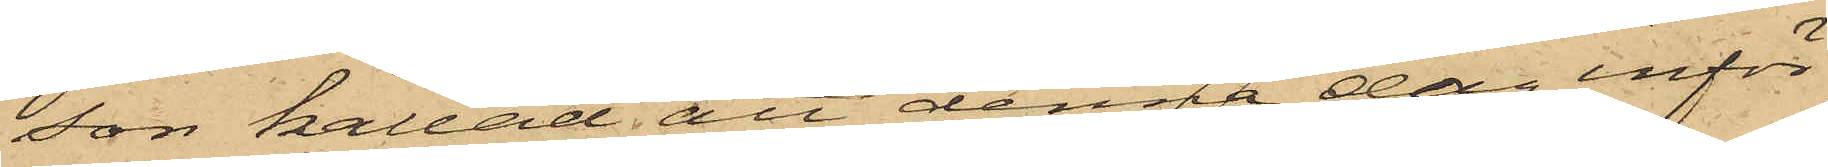son kallad att denna dag inför
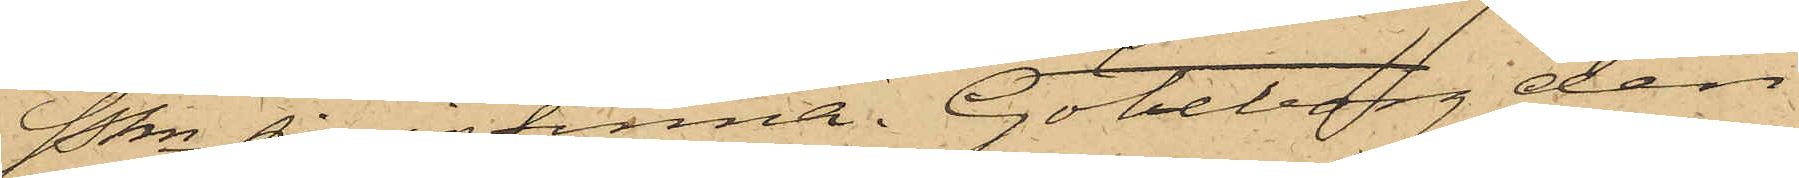Pkn sig infinna. Göteborg den
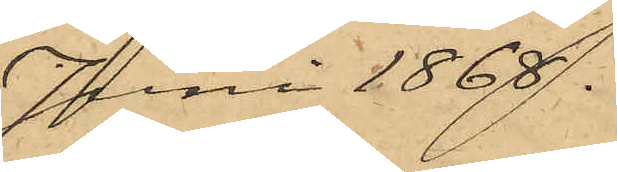Juni 1868.
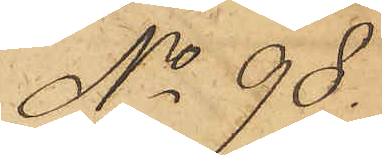No 98.
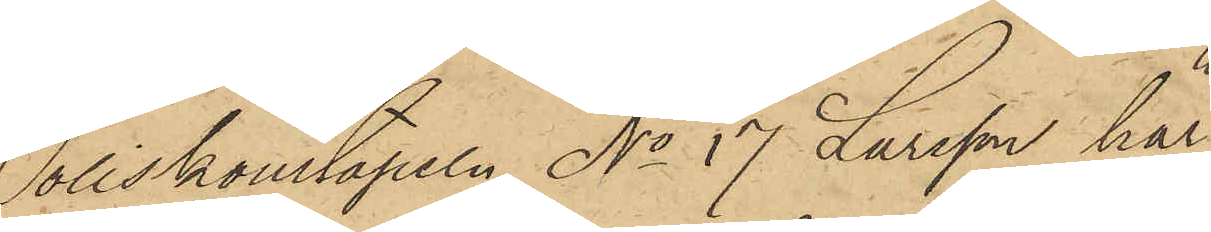Poliskonstapeln No 17 Larsson har
